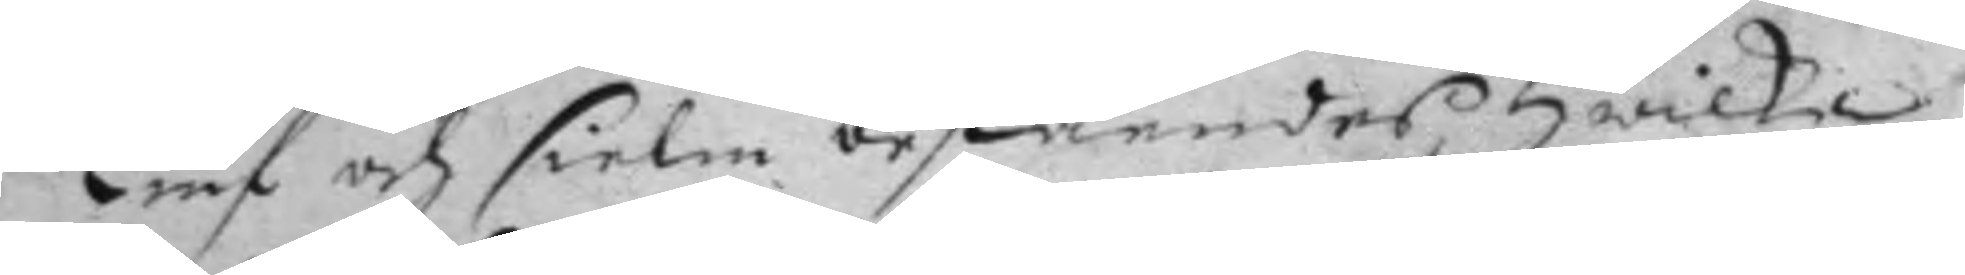Tiuf och sielm beståendes hwilke
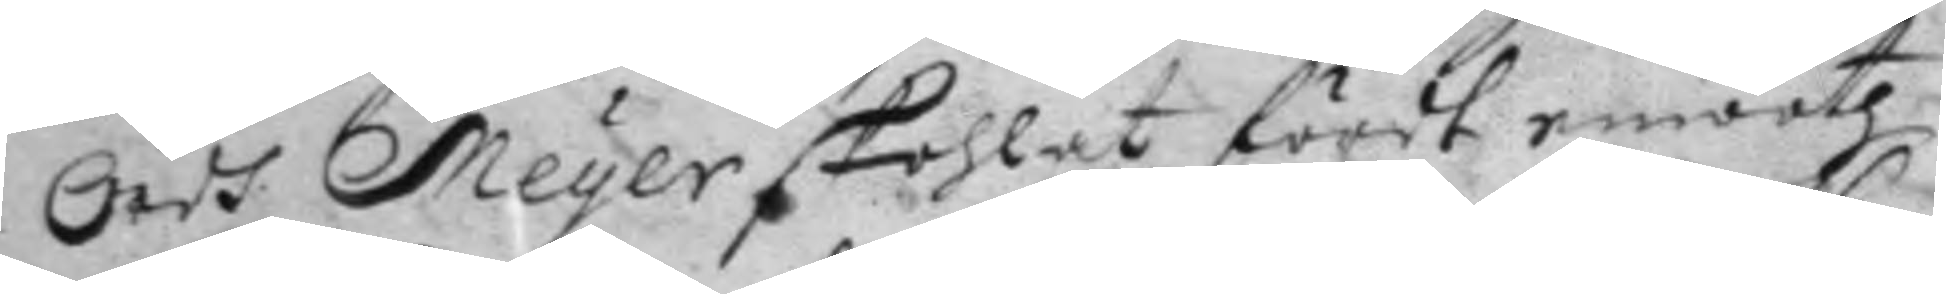Ordh Meyer skohlat fördt emooth
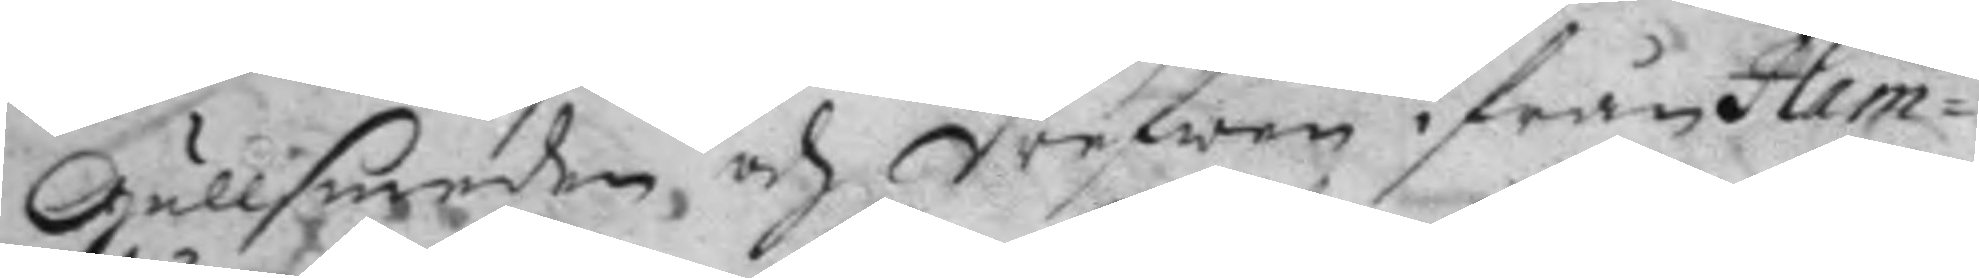Gullsmeden, och drefwen ifrån Ham¬
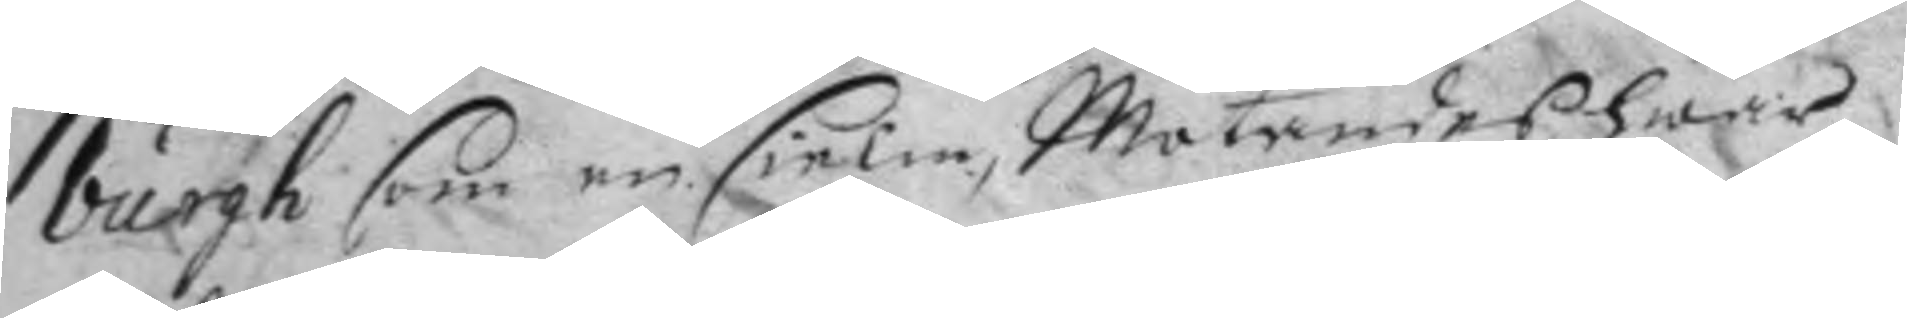burgh som en sielm, Mötandes hwar¬
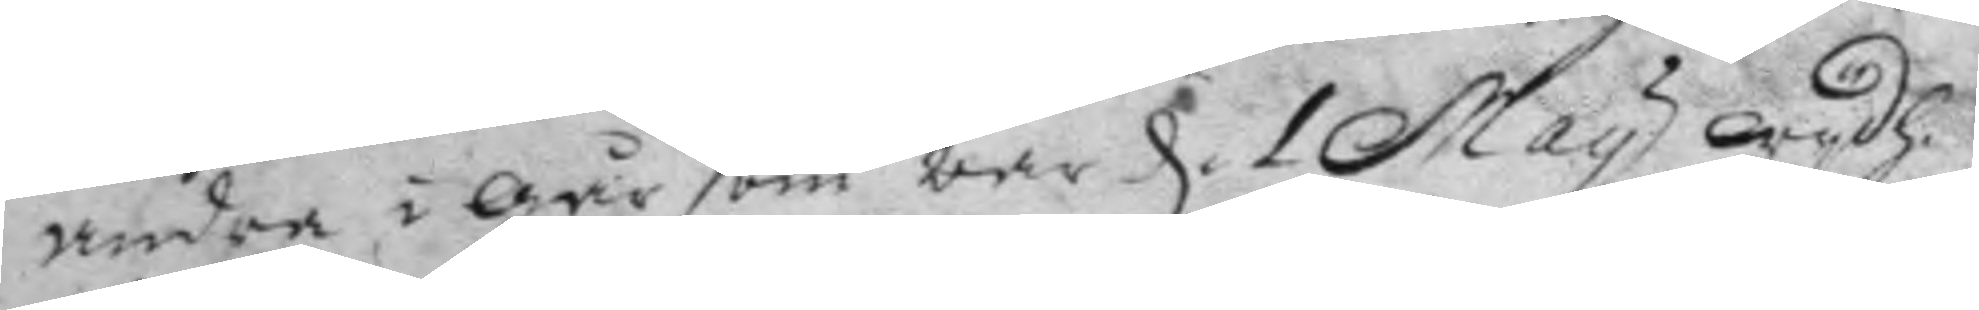andra i går som war d. 1 May Wydh 
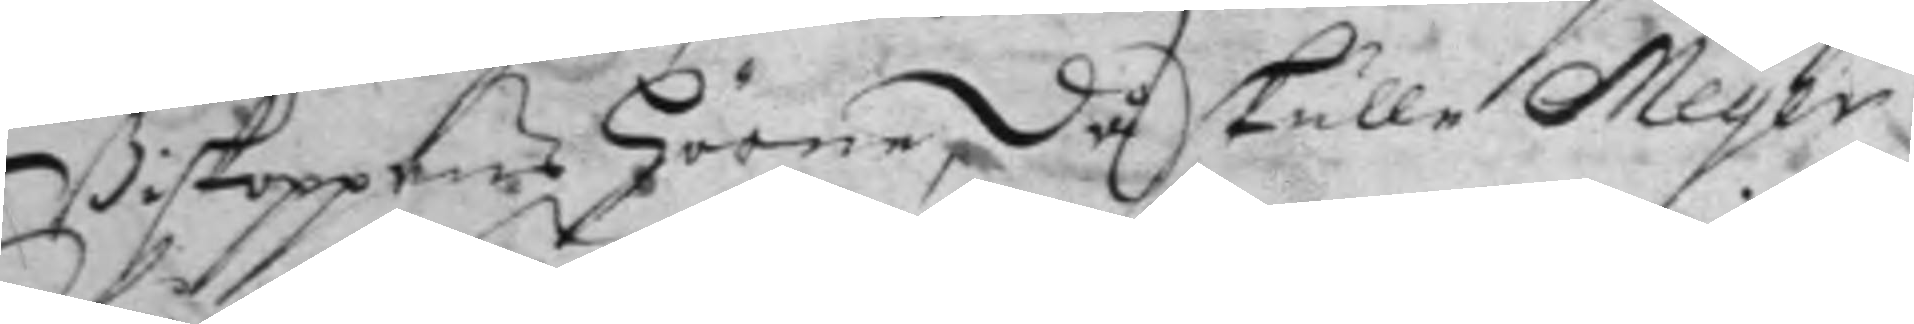Biskoppen Hörne, då skulle Meyer
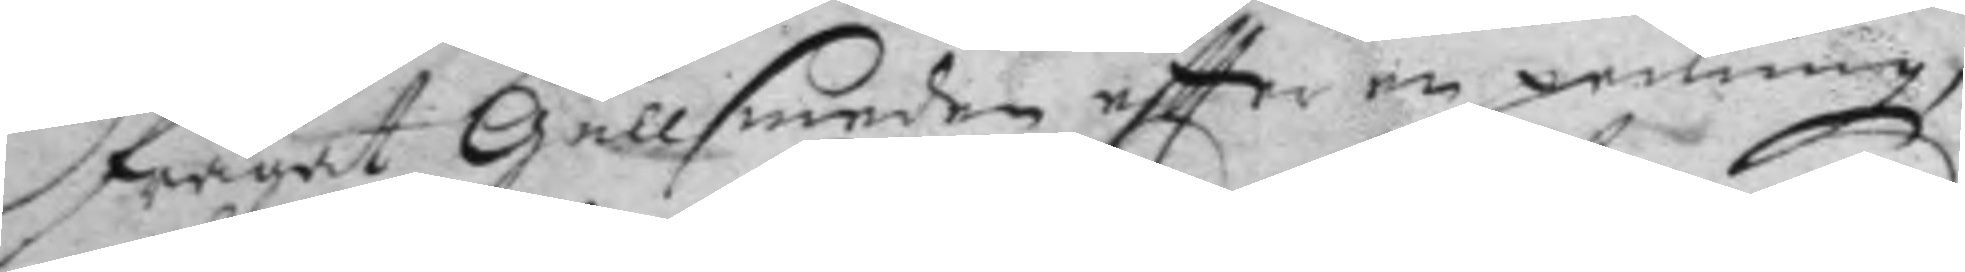frågat Gullsmeden eftter en penning,
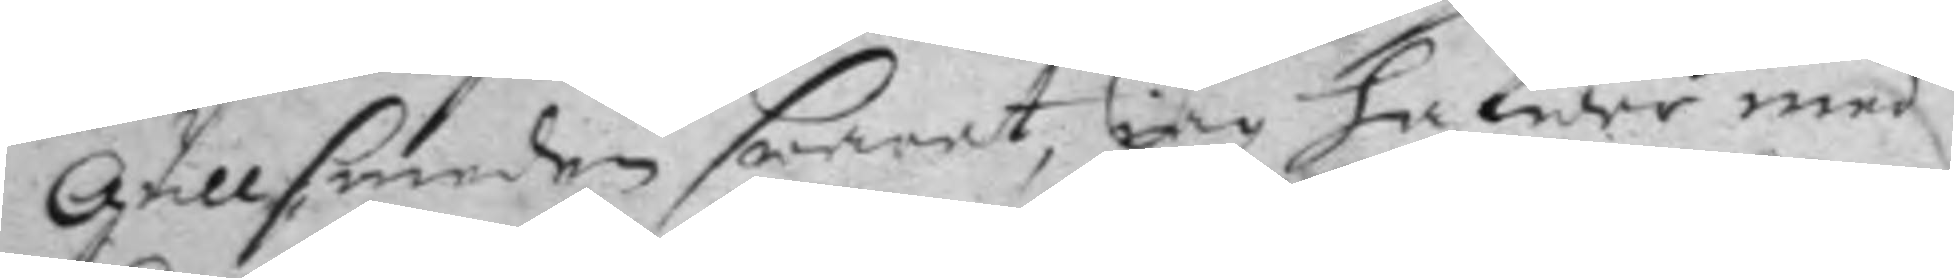Gullsmeden swarat, iag hafwer med
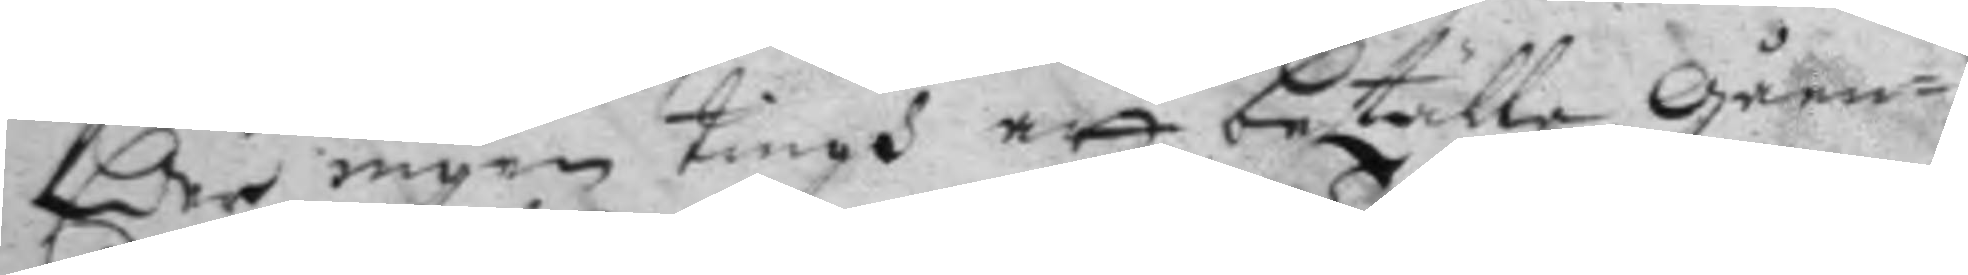Eer ingen tingh att betälla Gåen¬
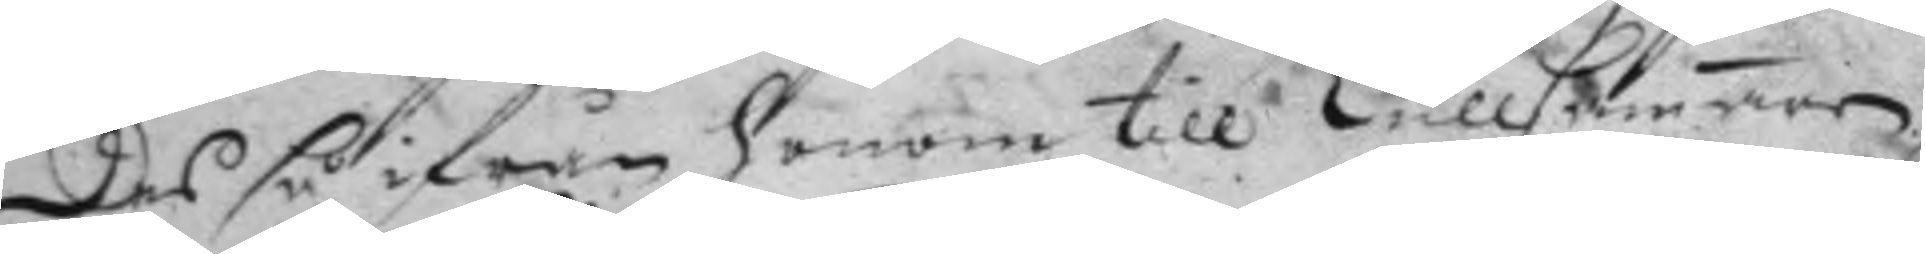des så ifrån honom till TullCamaren
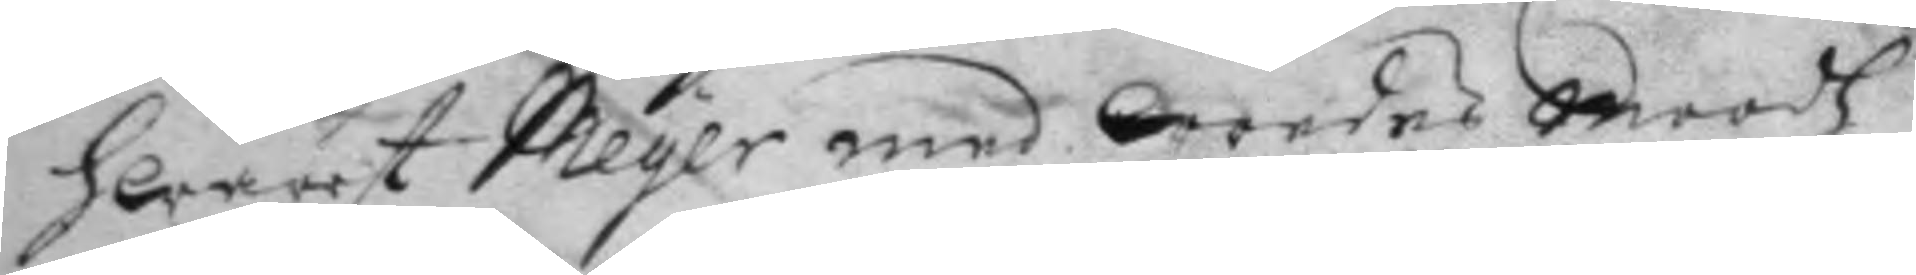hwarest Meyer med wredes Moodh
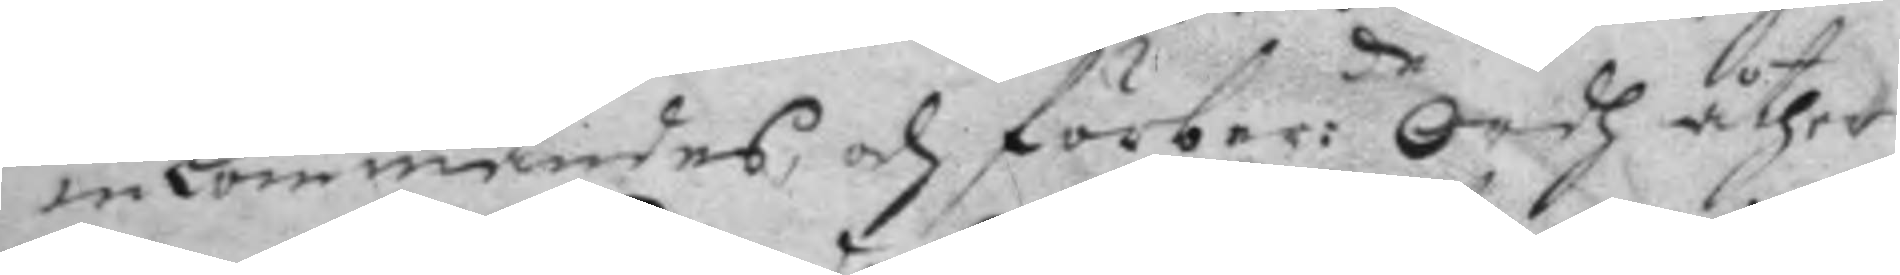inkommandes, och förber:de Ordh åther 
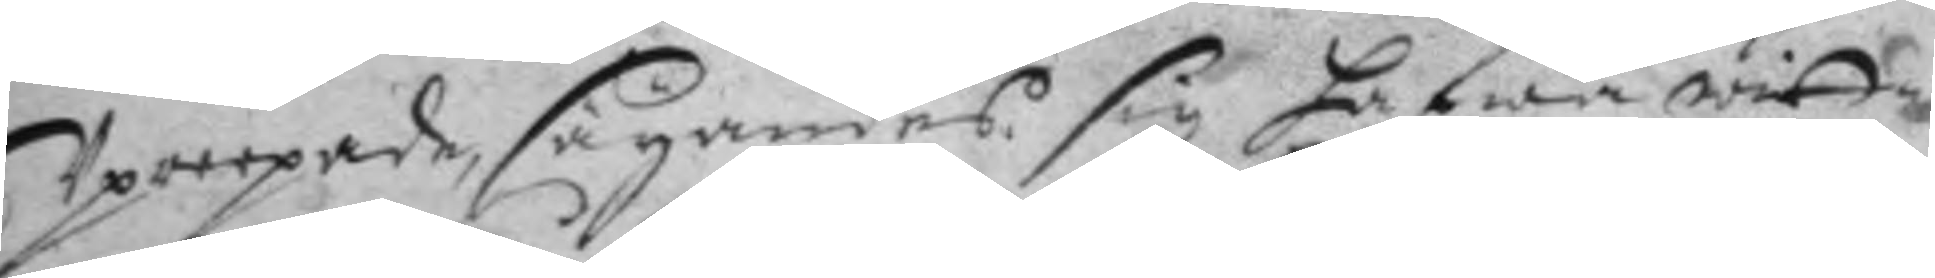Upreepade, säyandes sig hafwa witt¬
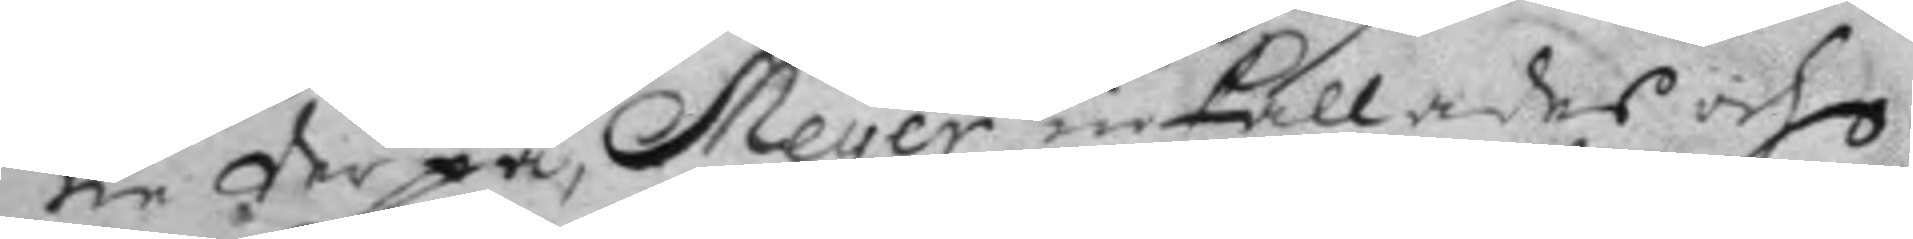ne derpå, Meyer inkallades och
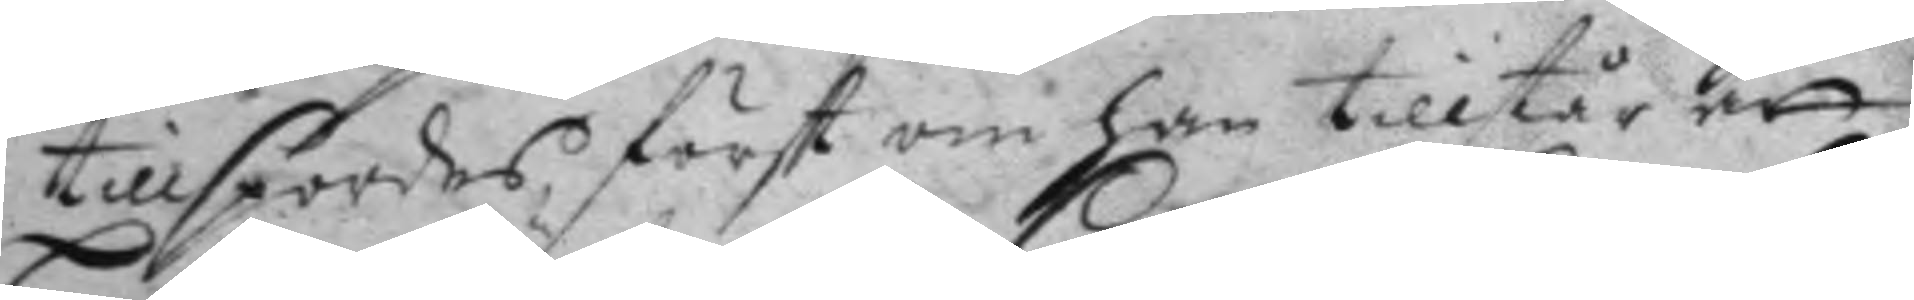tillspordes först om han tillstår att
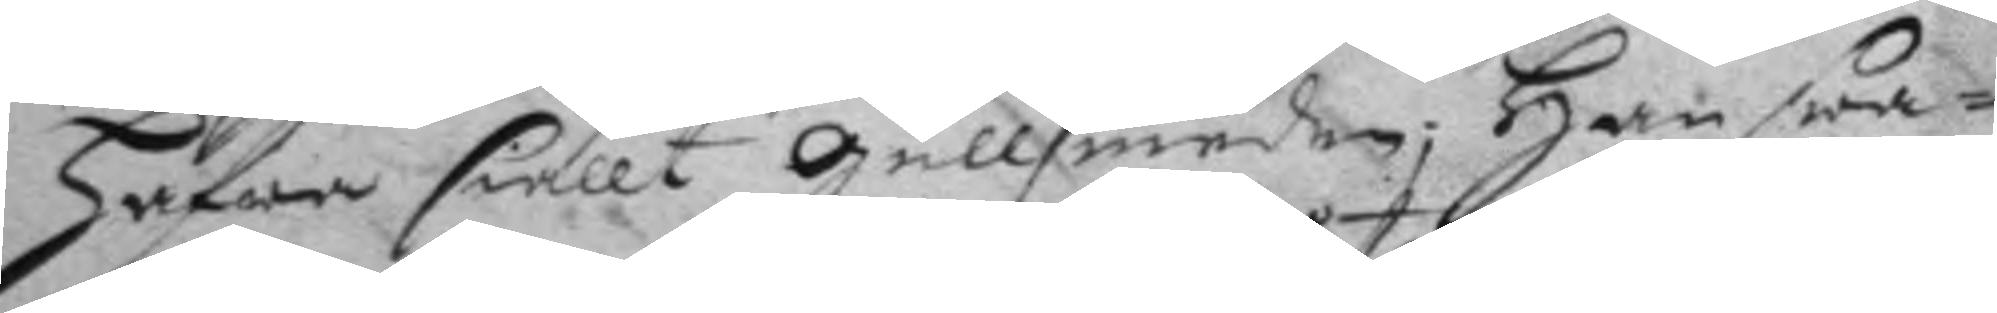Hafwa siällt Gullsmeden; Han swa¬
